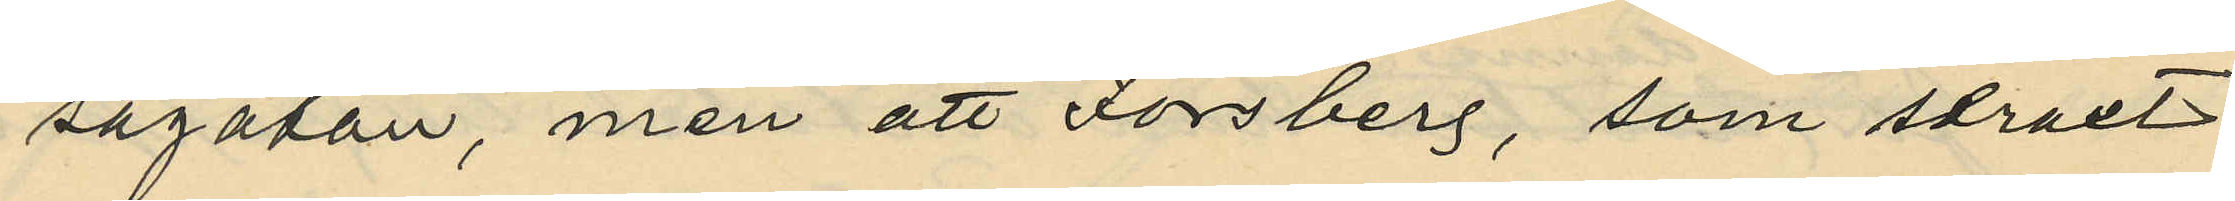sagatan, men att Forsberg, som straxt
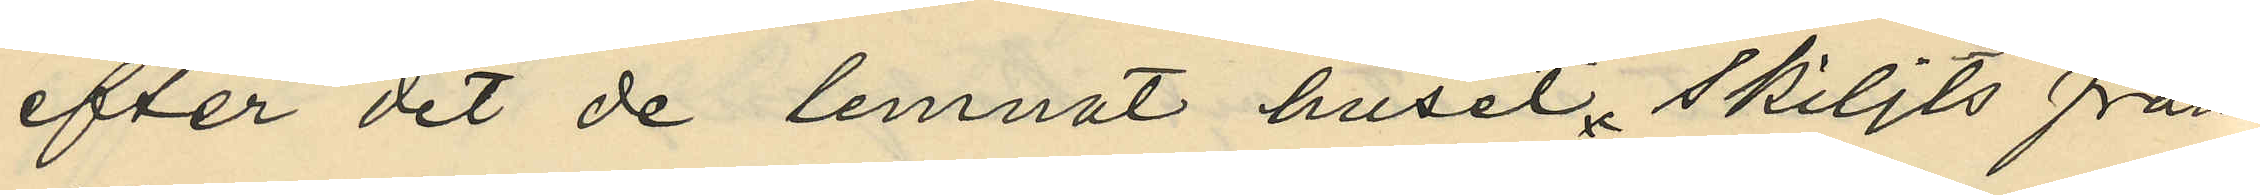efter det de lemnat huset, skiljts från
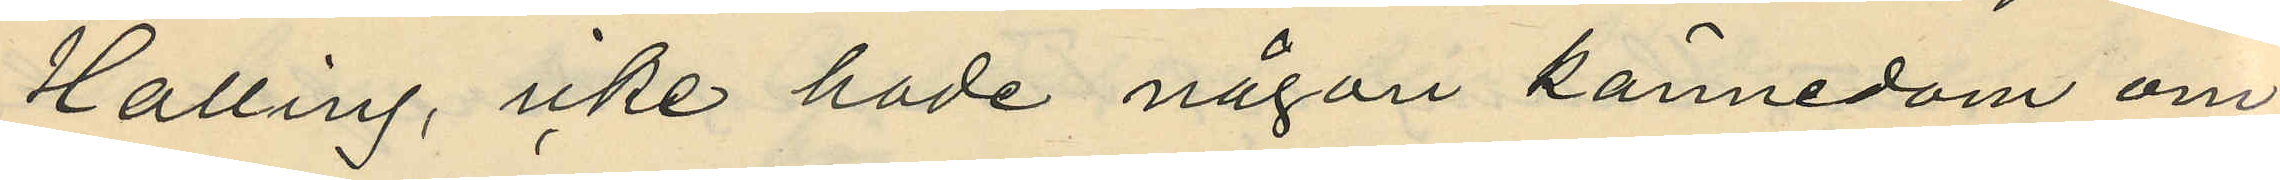Halling, icke hade någon kännedom om
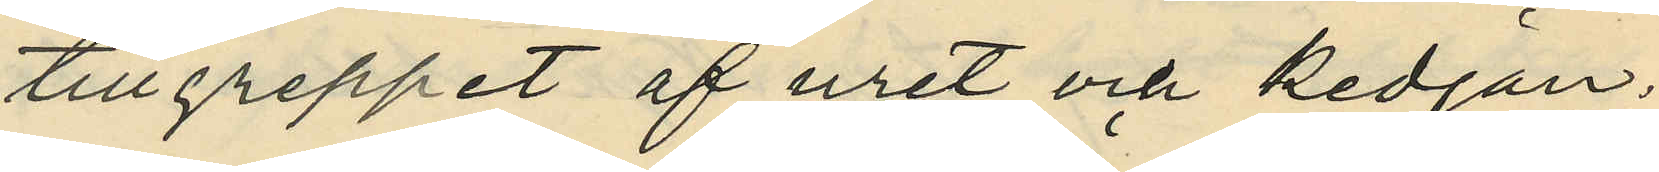tillgreppet af uret och kedjan;
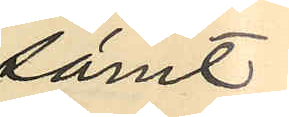samt
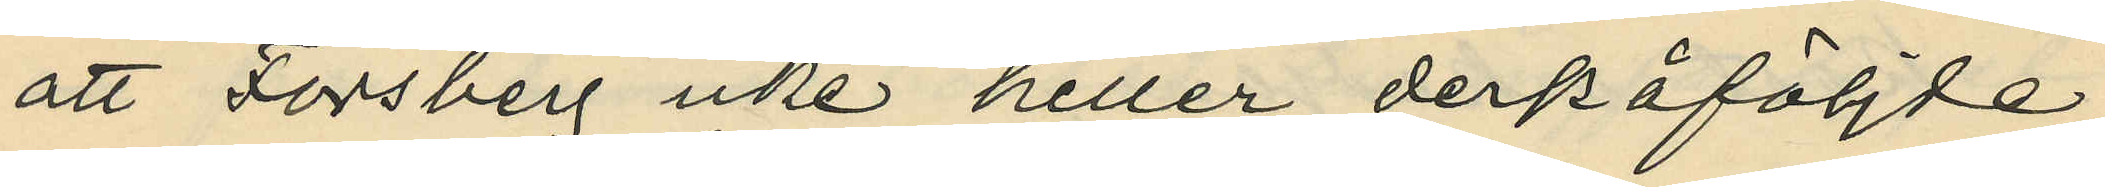att Forsberg icke heller derpåföljde
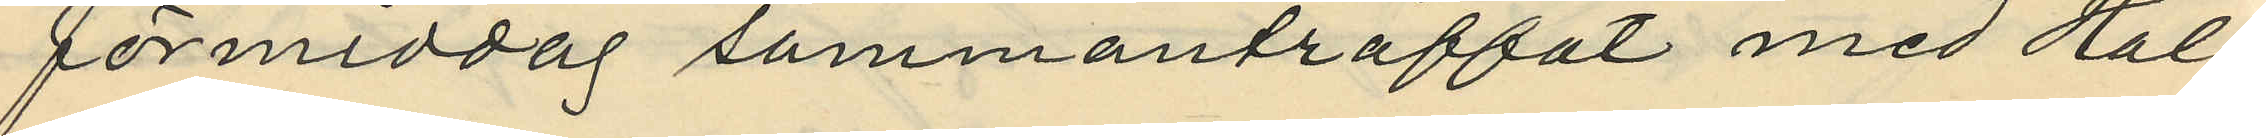förmiddag sammanträffat med Hal¬
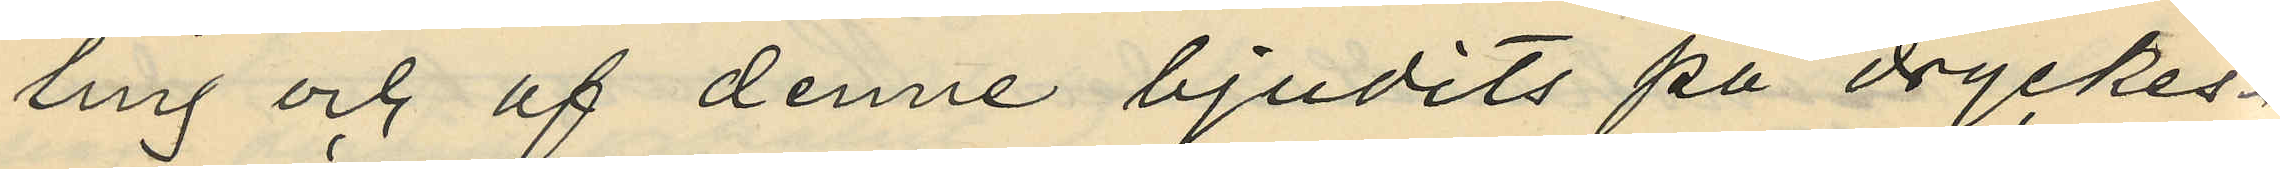ling och af denne bjudits på dryckes¬
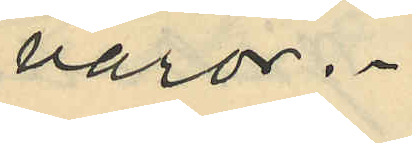varor.
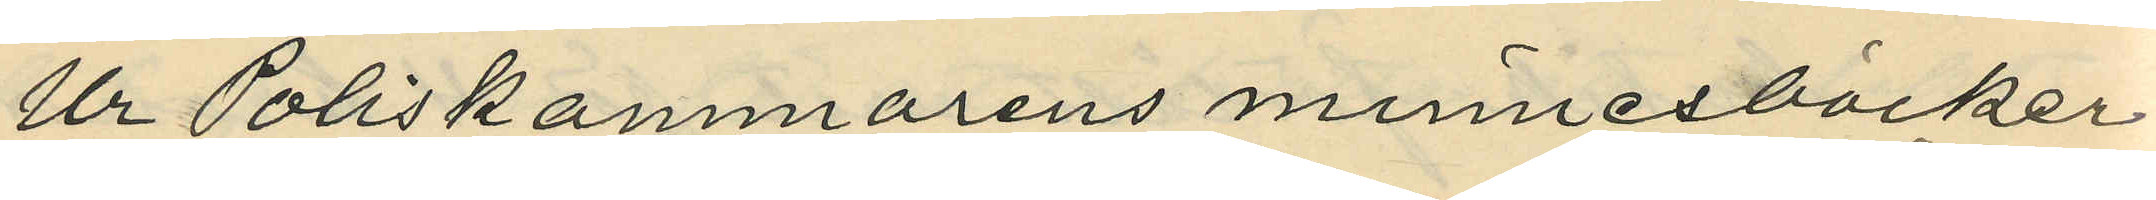Ur Poliskammarens minnesböcker
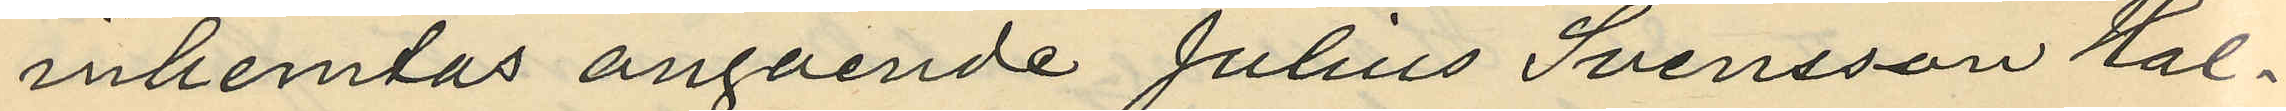inhemtas angående Julius Svensson Hal¬
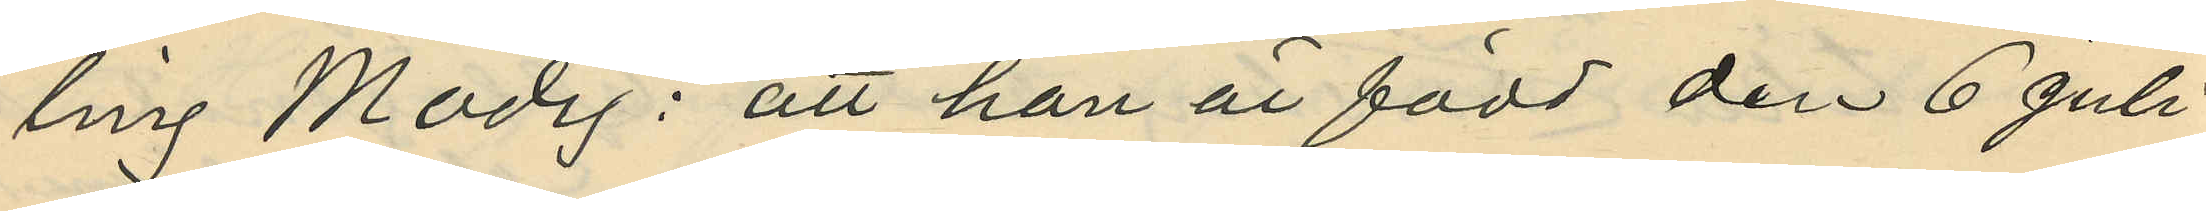ling Modig: att han är född den 6 Juli
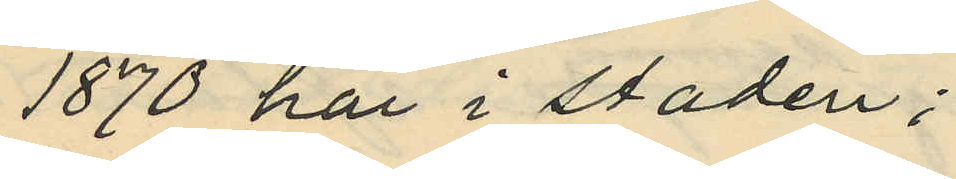1870 här i staden;
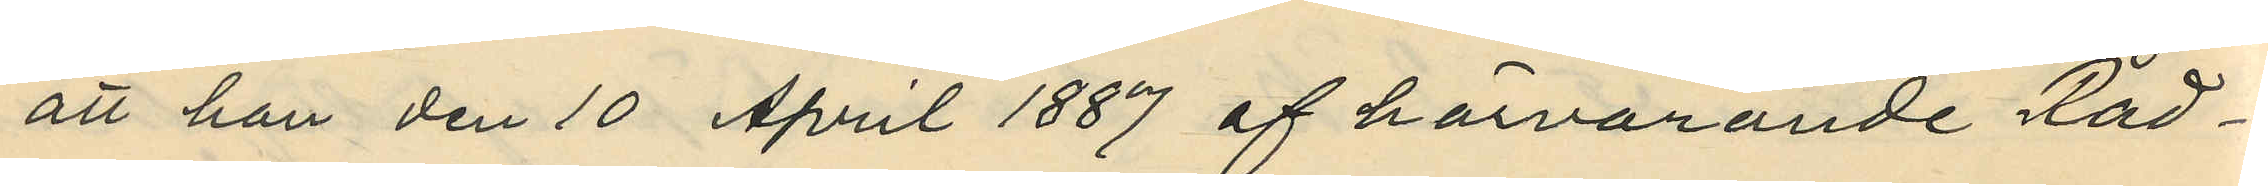att han den 10 April 1887 af härvarande Råd¬
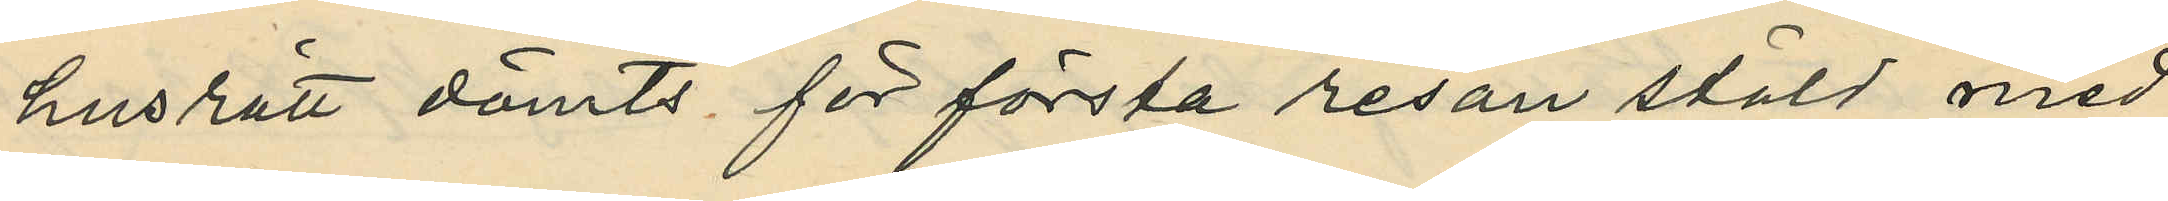husrätt dömts för första resan stöld med
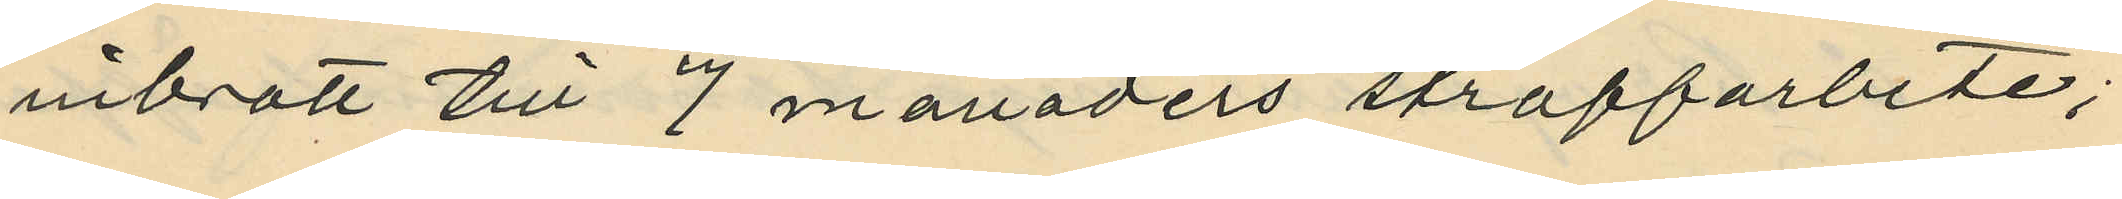inibrott till 7 månaders straffarbete;
